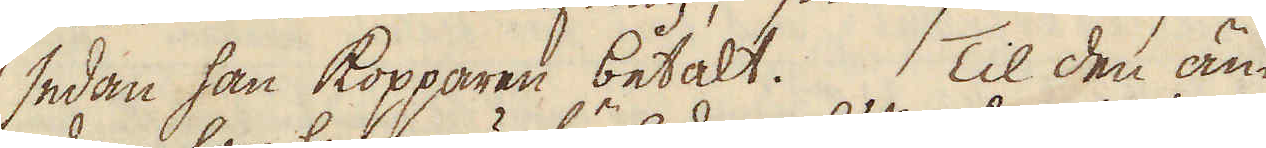sedan han kopparen betalt. Til den än-
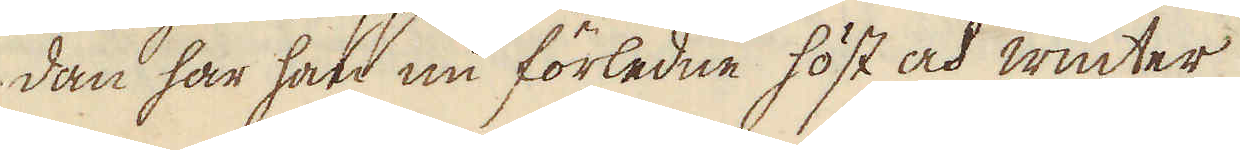dan har han nu förledne höst och winter
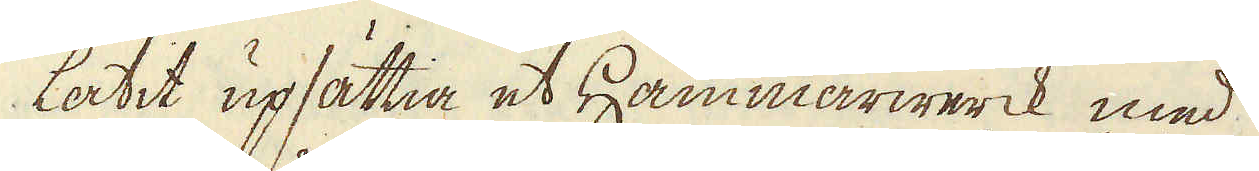låtit upsättia et Hammarwerck med
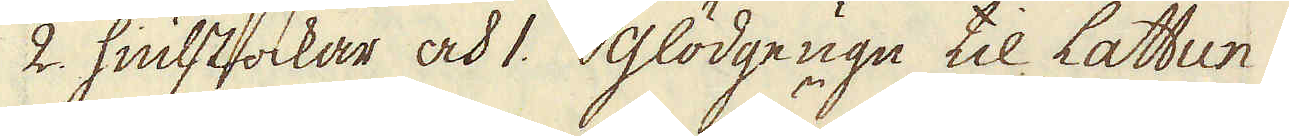2. hiulstockar och 1. glödge ugn til Lattun
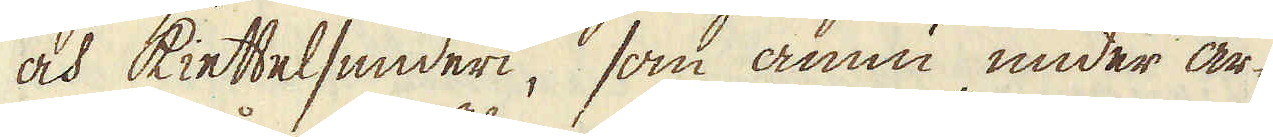och kiettelsmideri, som ännu under ar-
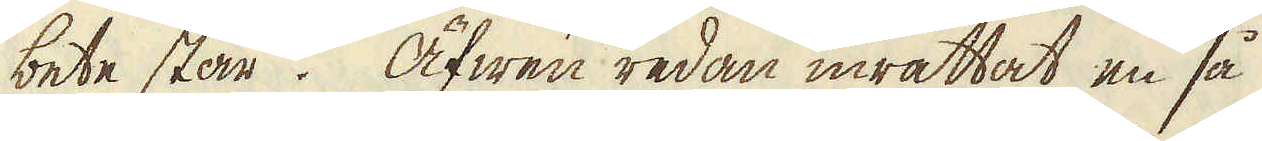bete står. Äfwen redan inrättat en så
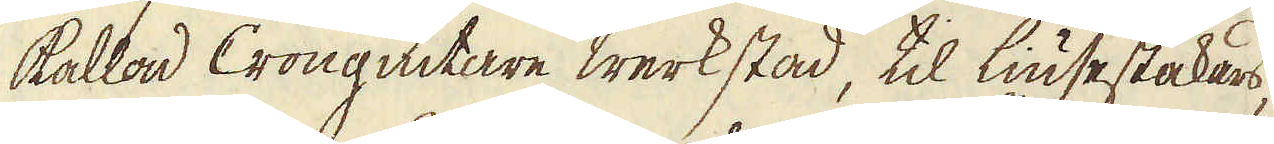kallad Crongiutare werkstad, til Liusestakars,
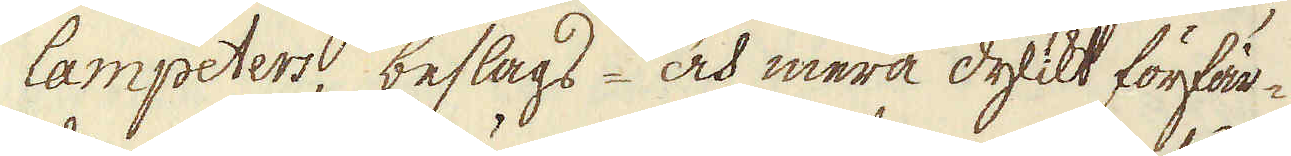lampeters, beslags- och mera dylikt förfär-
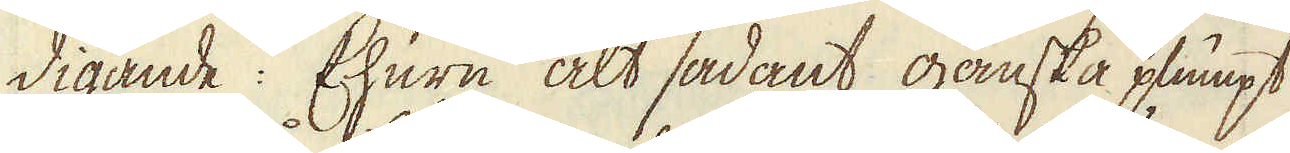digande: Ehuru alt sådant ganska plumpt
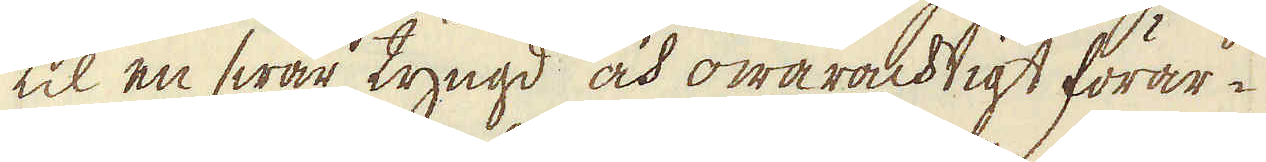til en swår tyngd och owaracktigt förar-
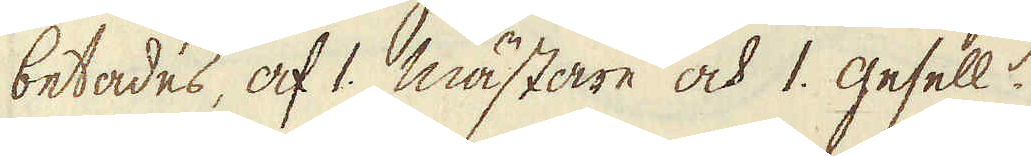betades, af 1. mästare och 1. gesell.
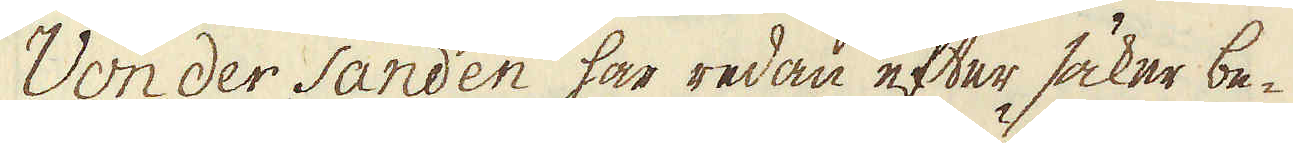Von der Sanden har redan efter säker be-
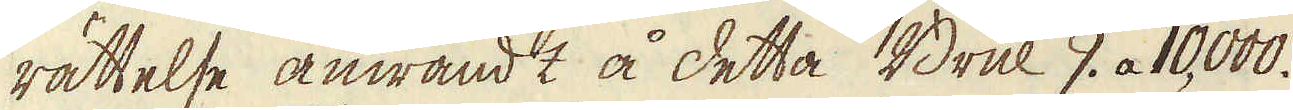rättelse anwändt å detta Bruk 9. a 10,000.
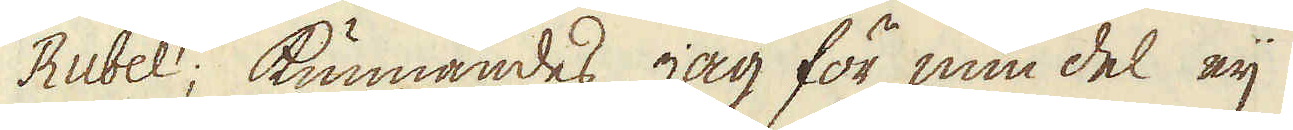Rubel; kunnandes jag för min del eij
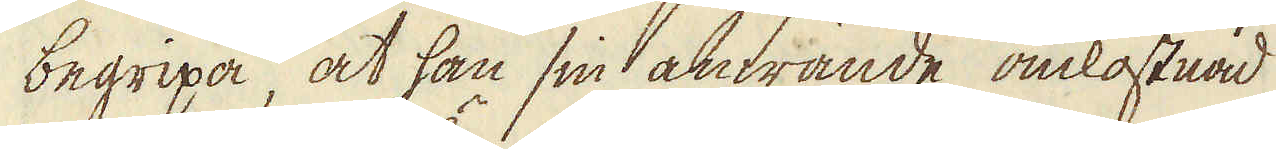begripa, at han sin anwände omkostnad
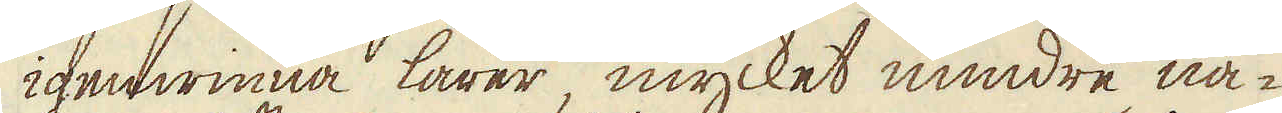igenwinna lärer, mycket mindre nå-
